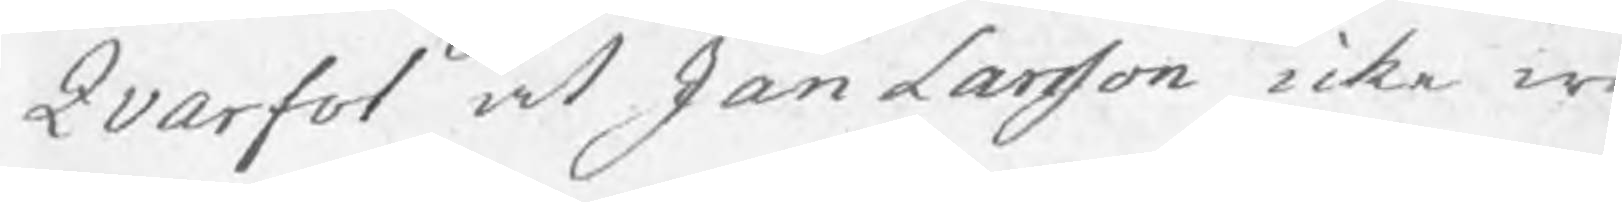Qvarfot at Jan Larsson icke w
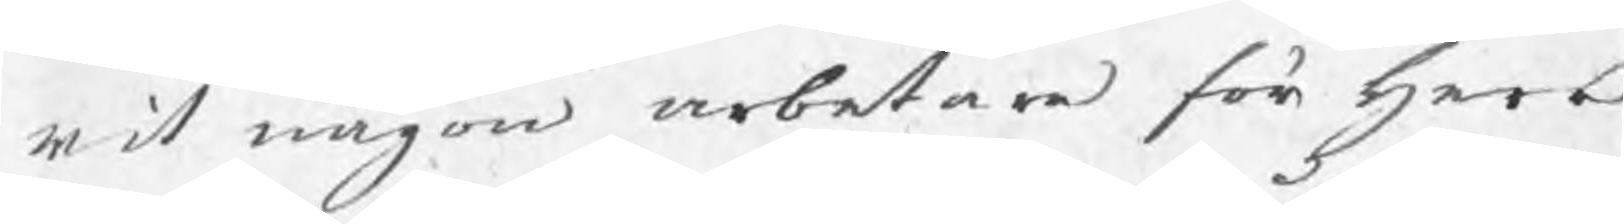rit någon arbetare för herr
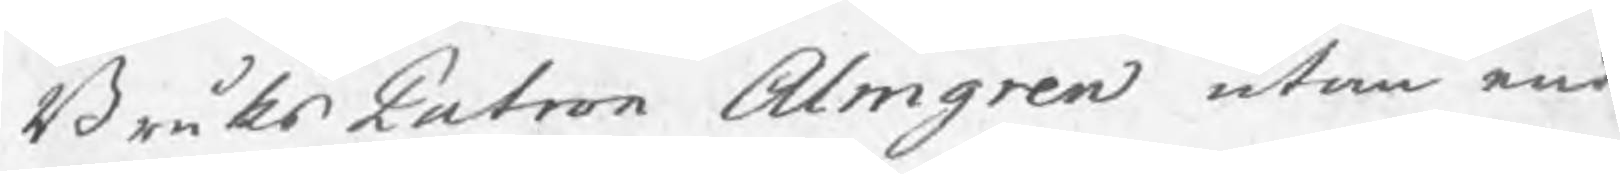BruksPatron Almgren utan end
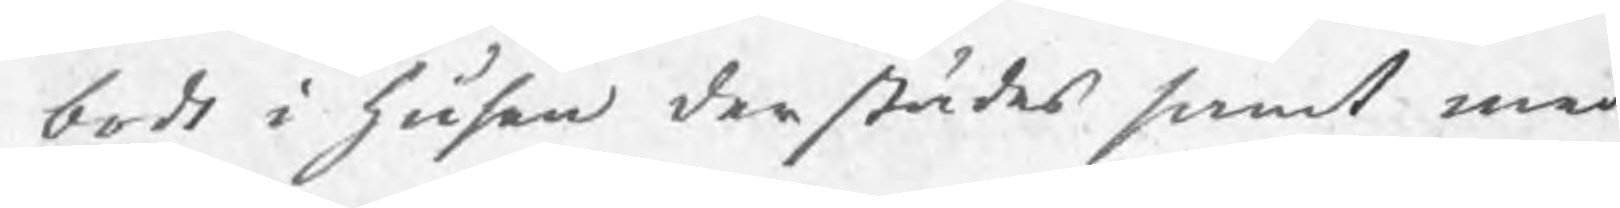bodt i husen derstädes samt med
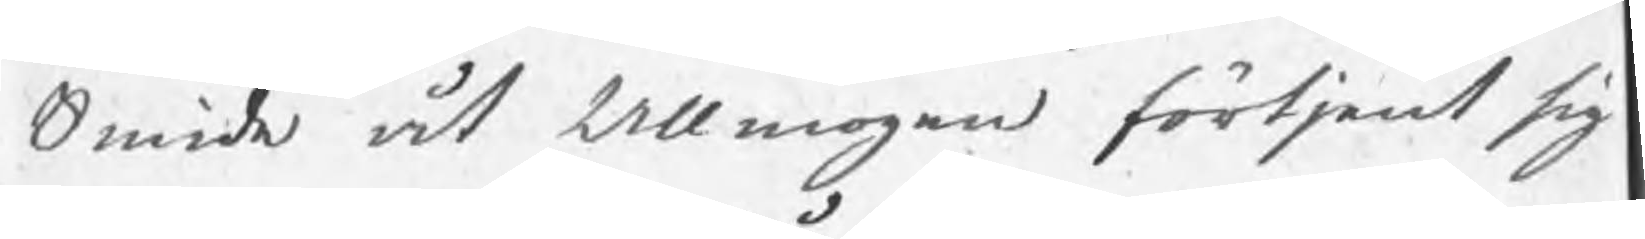Smide åt Allmogen förtjent sig
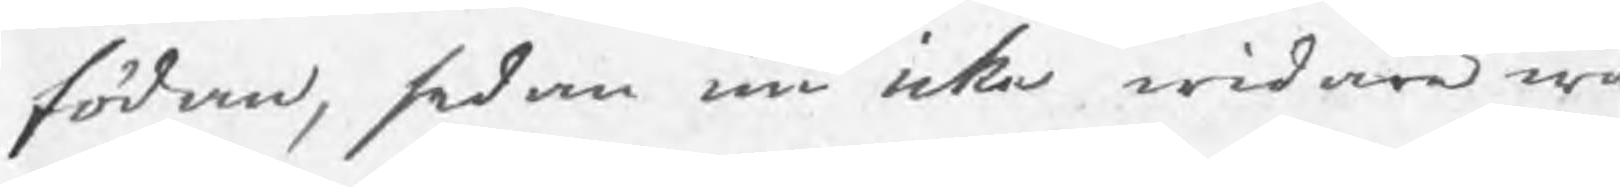födan, sedan må icke widare wa
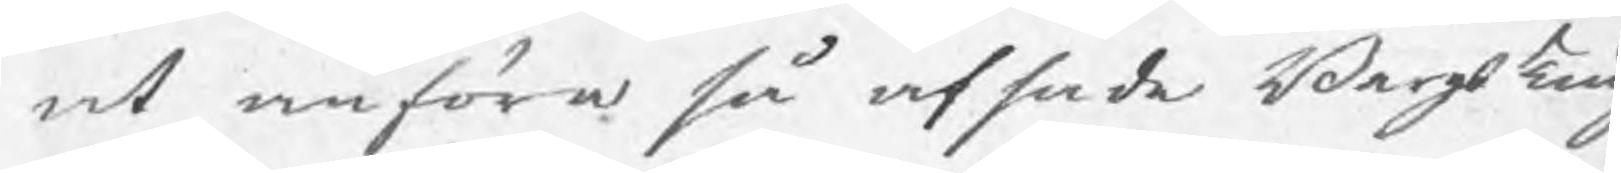at anföra så afsade BergsTing
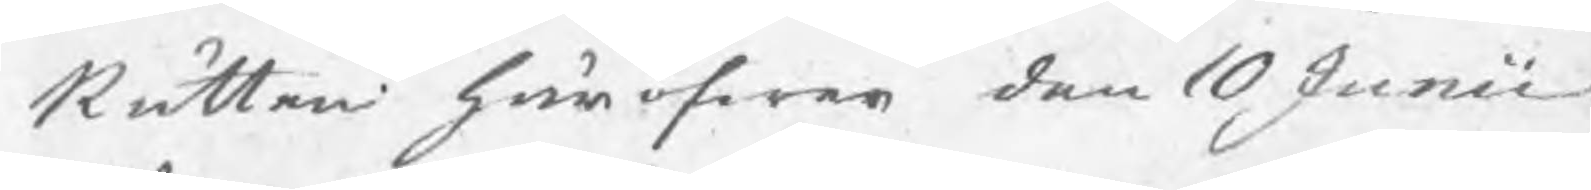Rätten häröfwer den 10 Junii
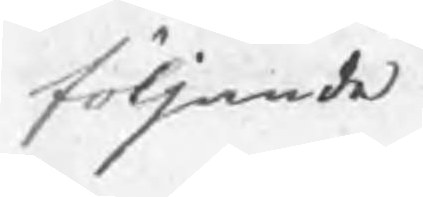följande
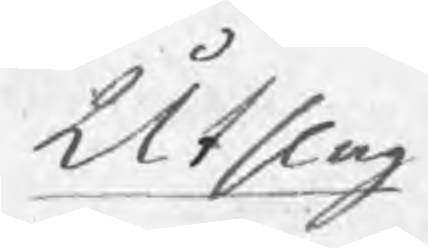Utslag
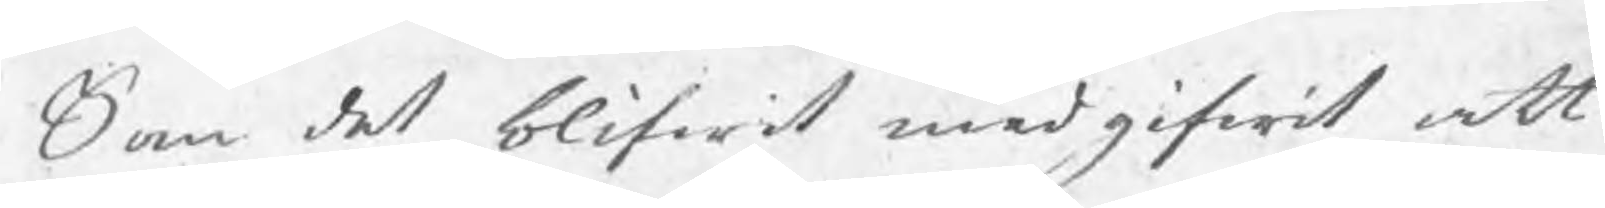Som det blifwit medgifwit att
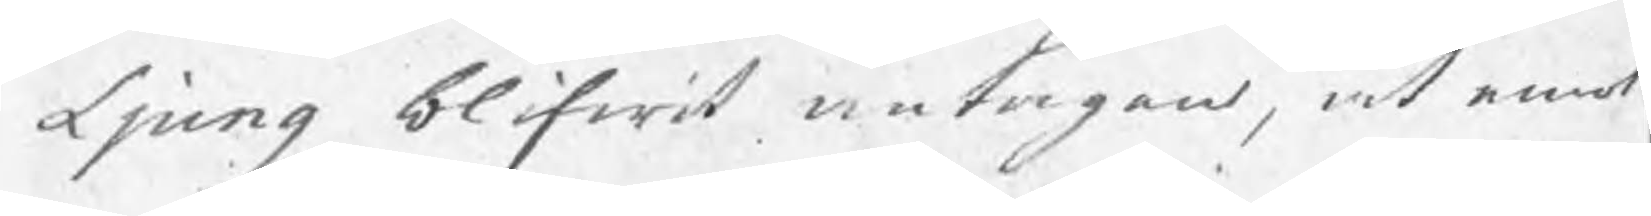Ljung blifwit antagen, at emot
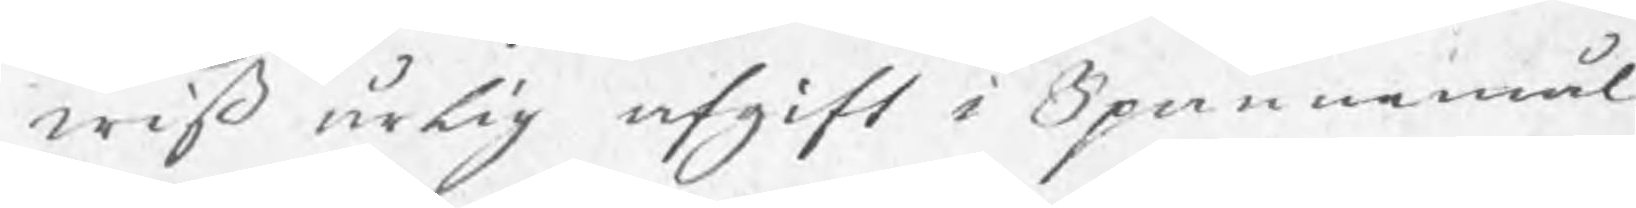wiß årlig afgift i Spannmål
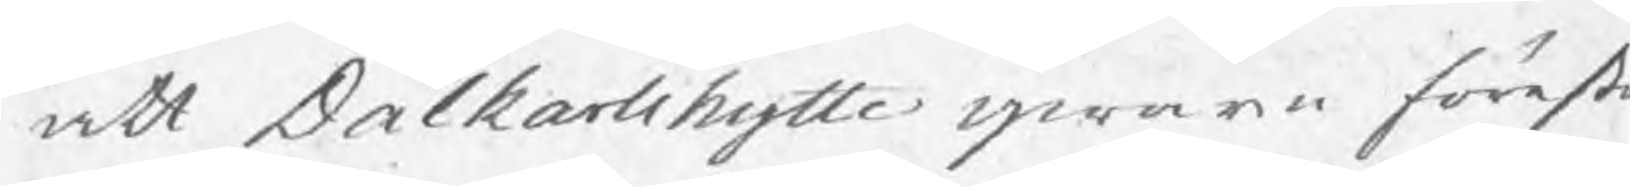att Dalkarlshytte qwarn förestå
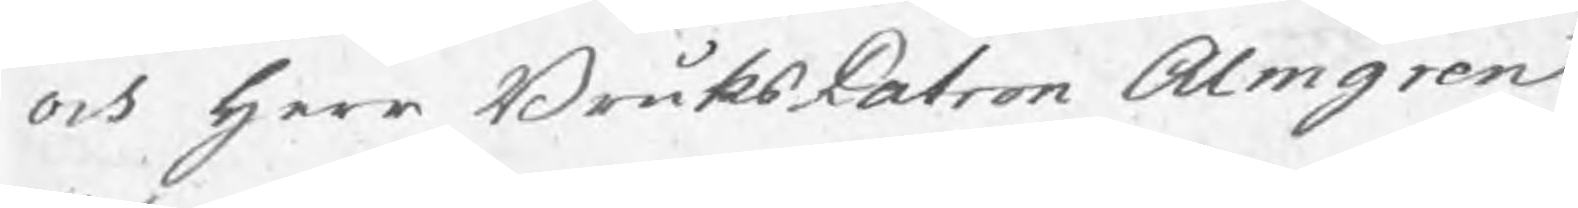och herr BruksPatron Almgren
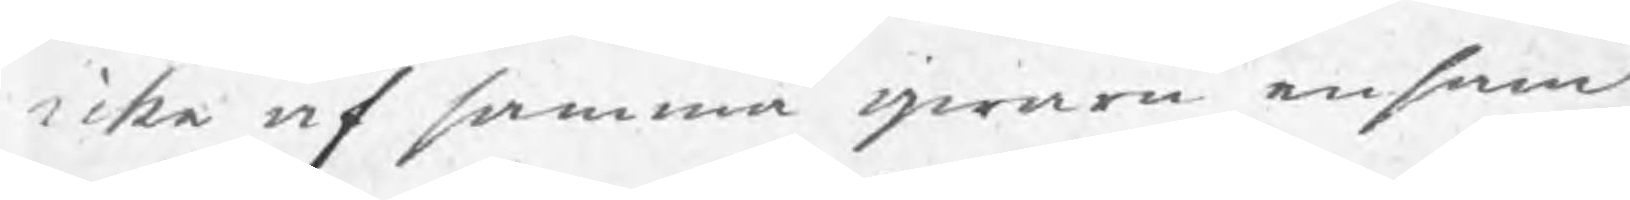icke af samma qwarn ensam
